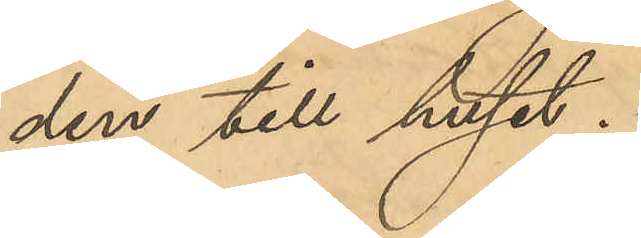den till huset.
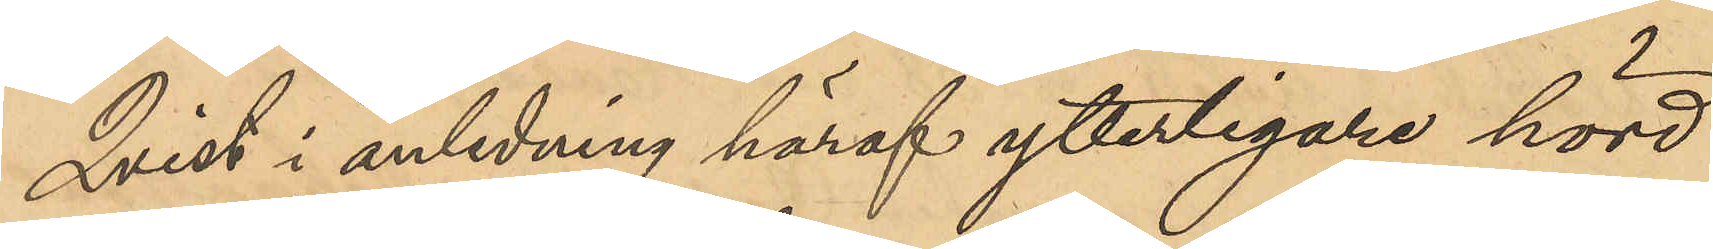Qvist i anledning häraf ytterligare hörd
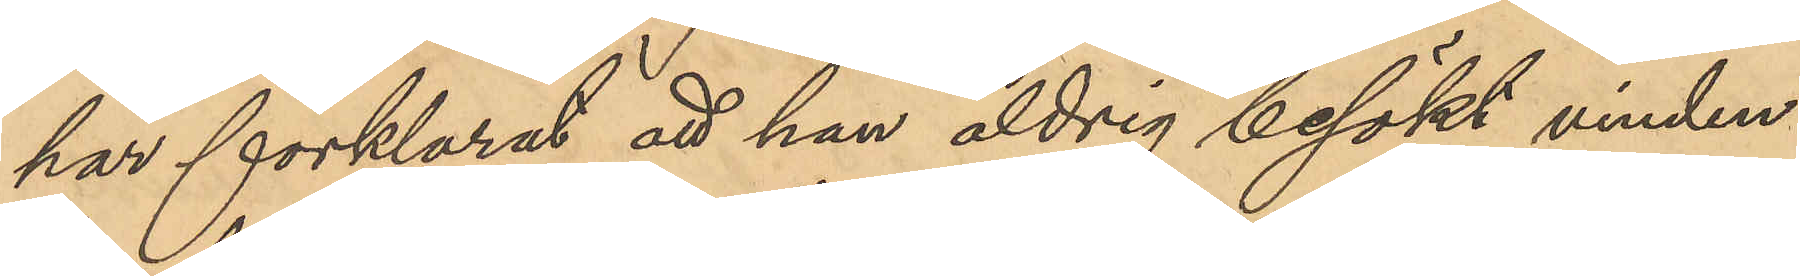har förklarat att han aldrig besökt vinden
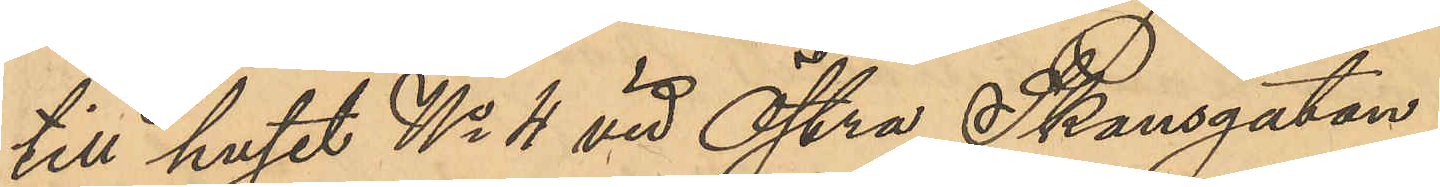till huset No 4 vid Östra Skansgatan.
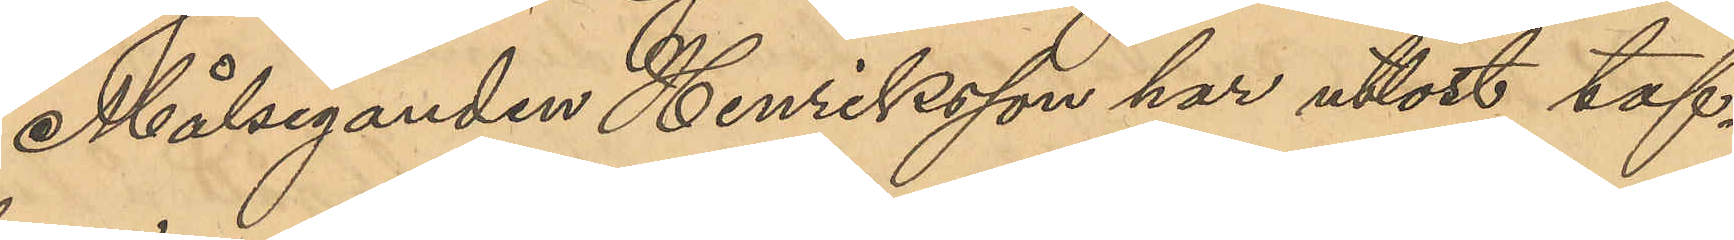Målseganden Henriksson har utlöst taf¬
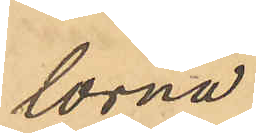lorna.
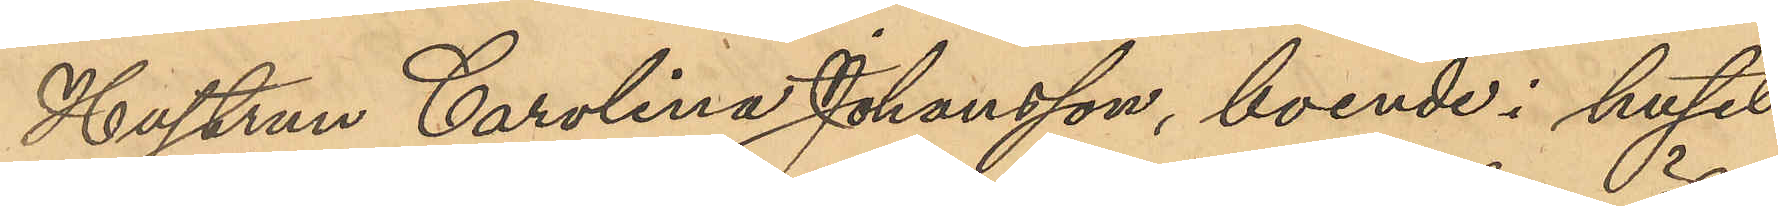Hustrun Carolina Johansson, boende i huset
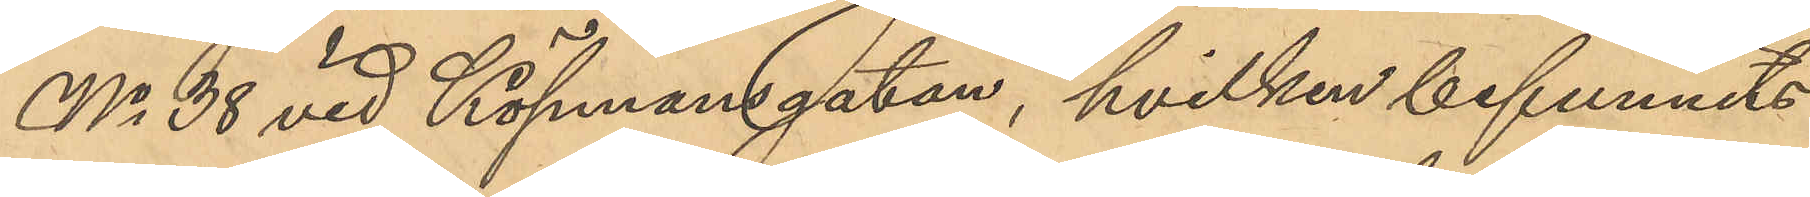No 38 vid Köpmansgatan, hvilken befunnits
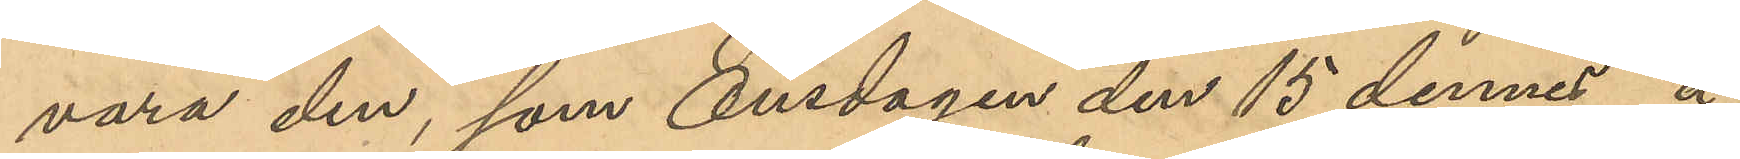vara den som Onsdagen den 15 dennes å
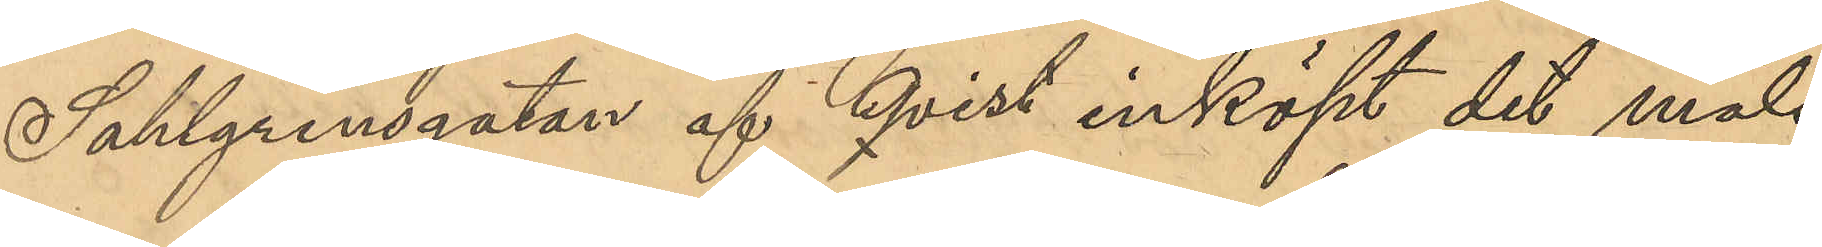Sahlgrensgatan af Qvist inköpt det måls¬
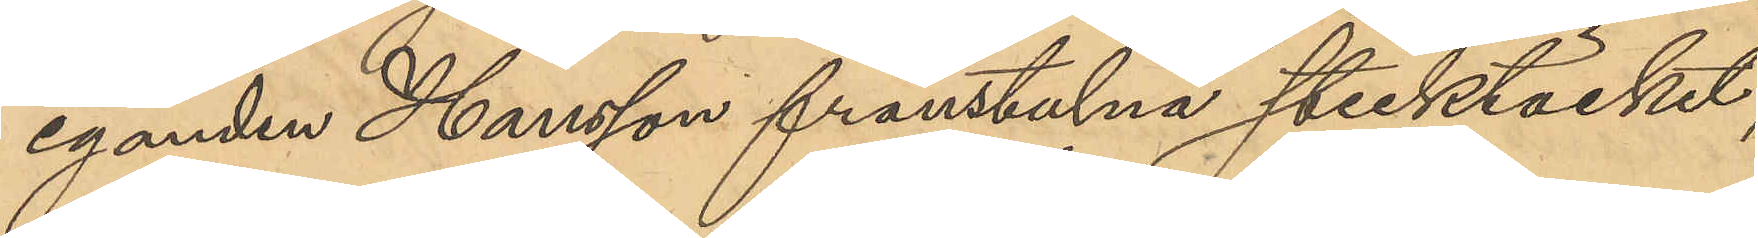eganden Hansson frånstulna sticktäcket,
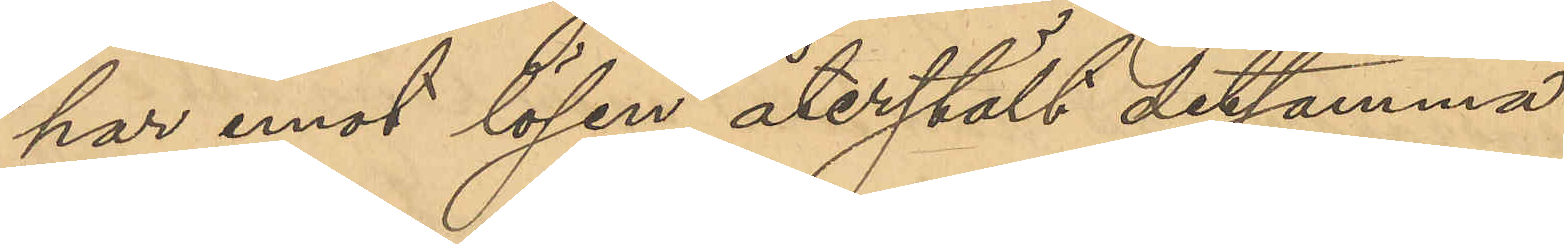har emot lösen återstäldt detsamma.
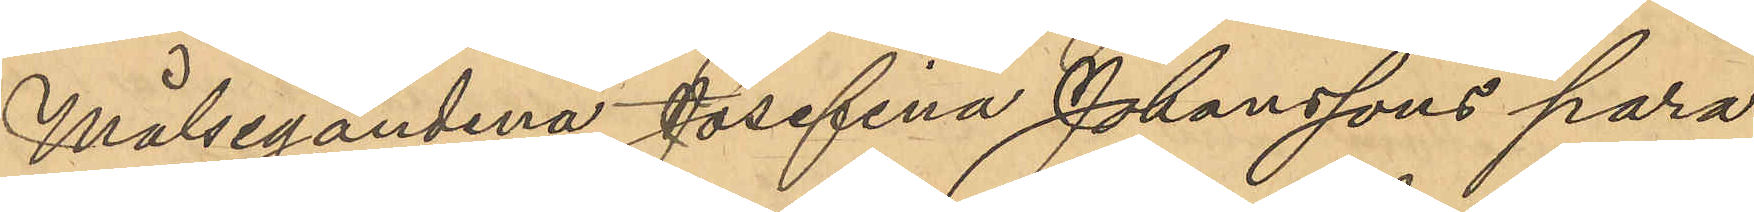Målseganderna Josefina Johanssons para¬
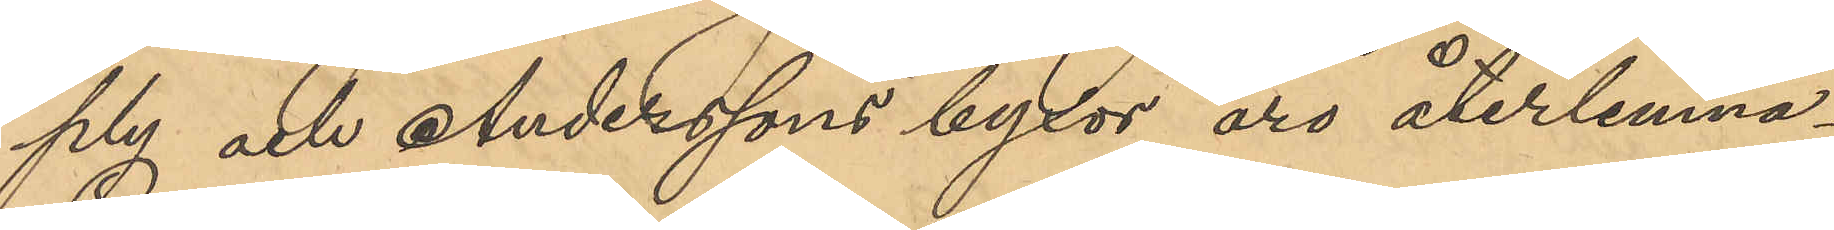ply och Anderssons byxor äro återlemna¬
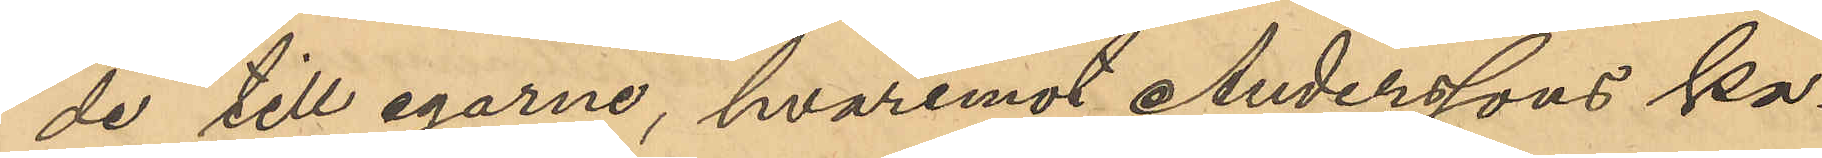de till egarna, hvaremot Anderssons ka¬
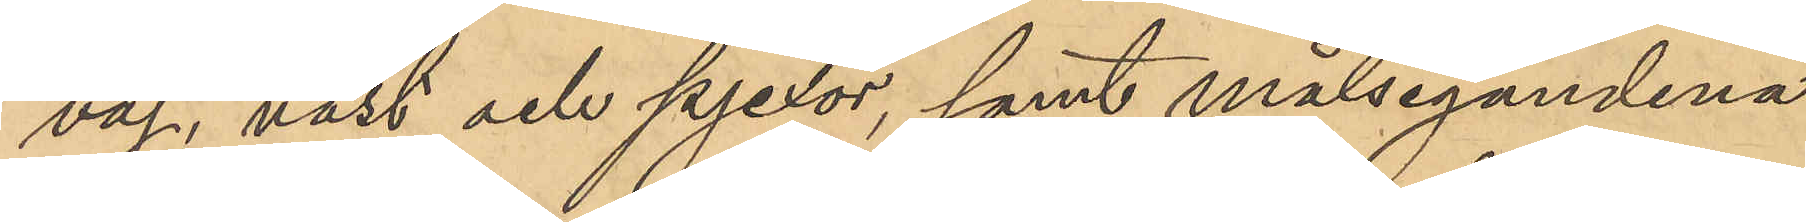vaj, väst och pjexor, samt målsegandena
